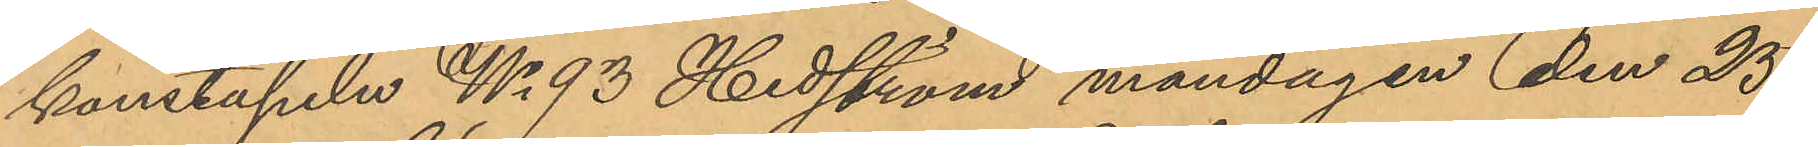konstapeln No 93 Hedström måndagen den 25
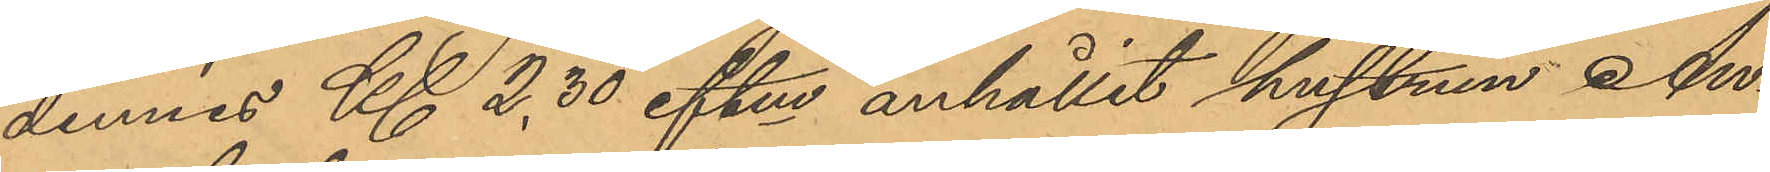dennes Kl 2,30 eftm anhållit hustrun An¬
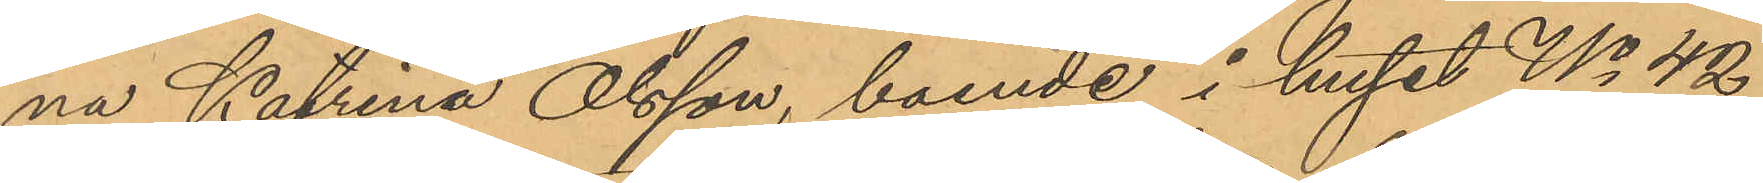na Katrina Olsson, boende i huset No 42
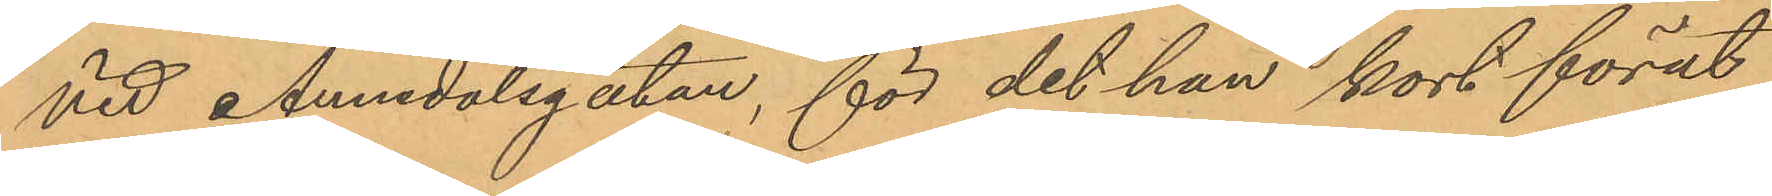vid Annedalsgatan, för det hon kort förut
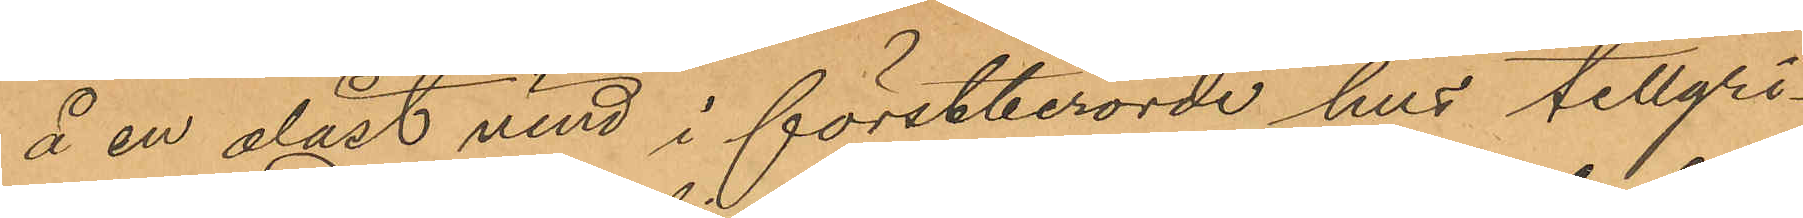å en olåst vind i förstberörde hus tillgri¬
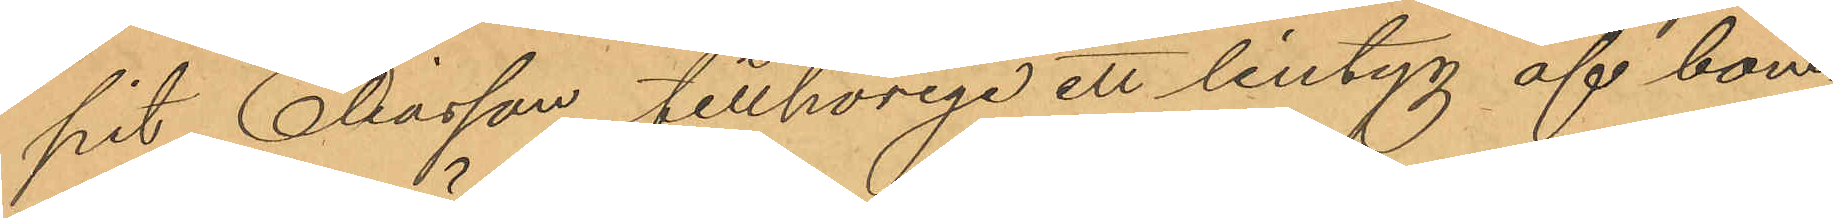pit Eliasson tillhörige ett lintyg af bom¬
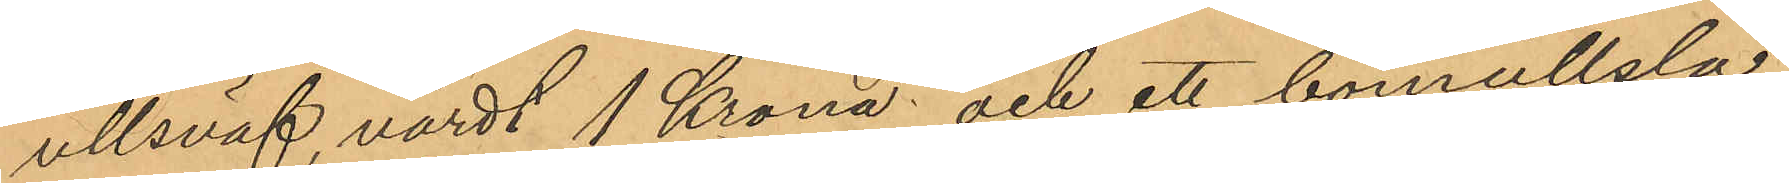ullsväf värdt 1 Krona; och ett bomullsla¬
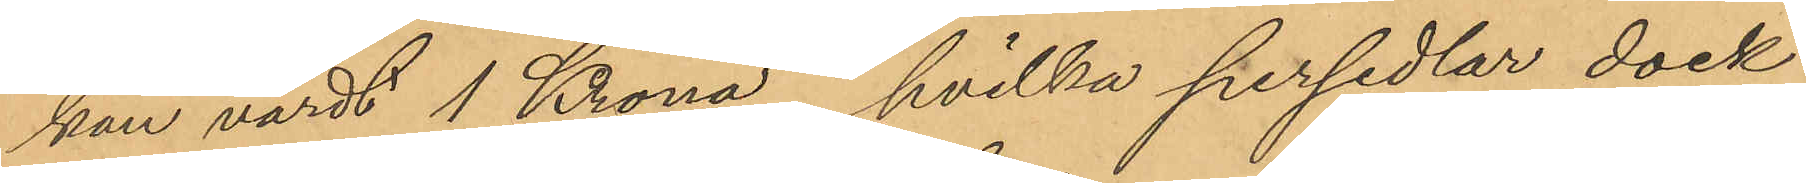kan värdt 1 Krona, hvilka persedlar dock
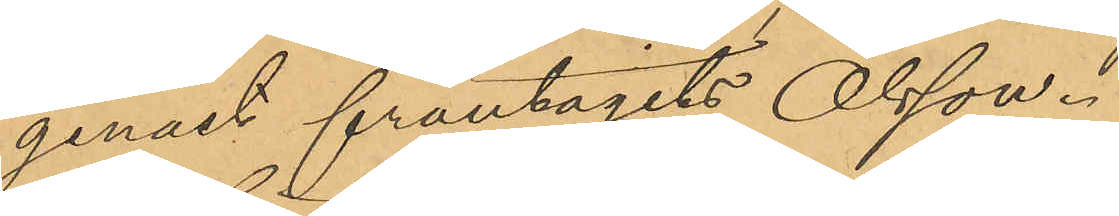genast fråntagits Olsson.
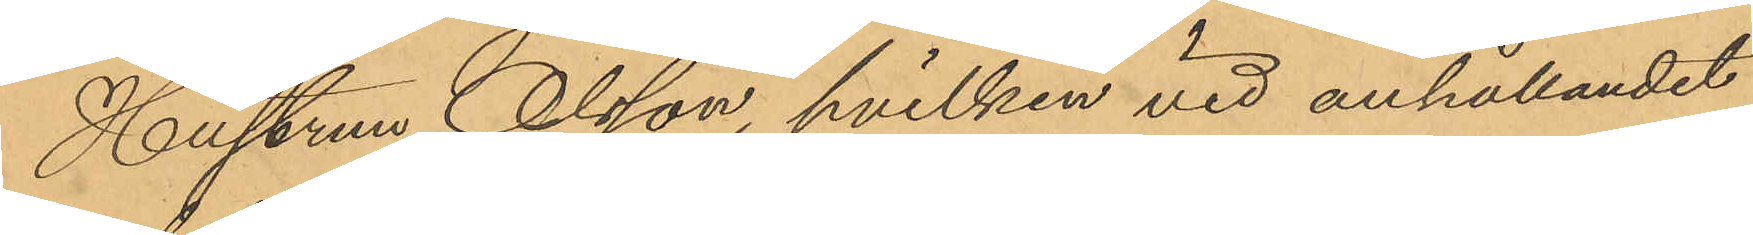Hustrun Olsson, hvilken vid anhållandet
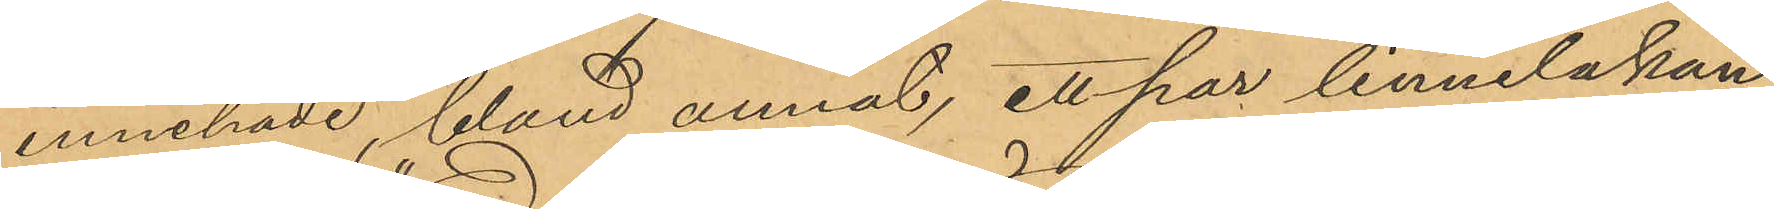innehade, bland annat, ett par linnelakan,
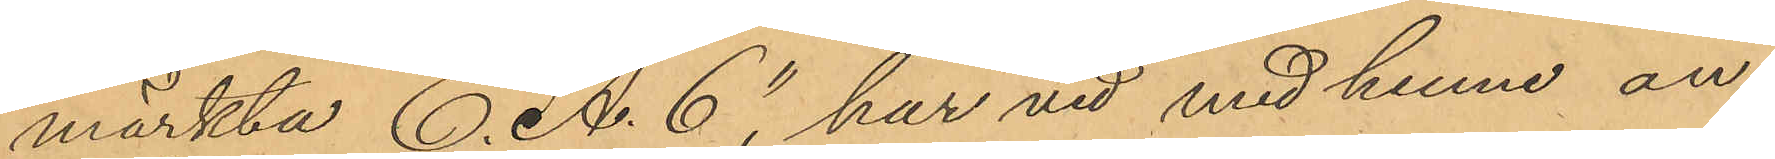märkta E. A. C har vid med henne an¬
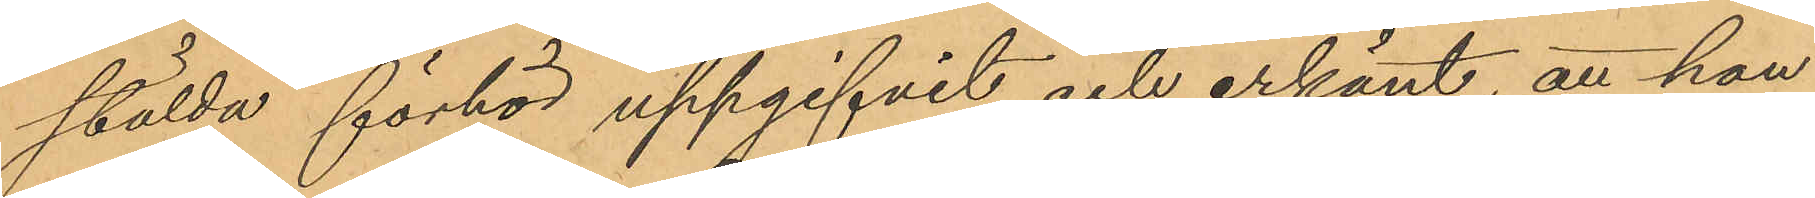stälda förhör uppgifvit och erkänt, att hon
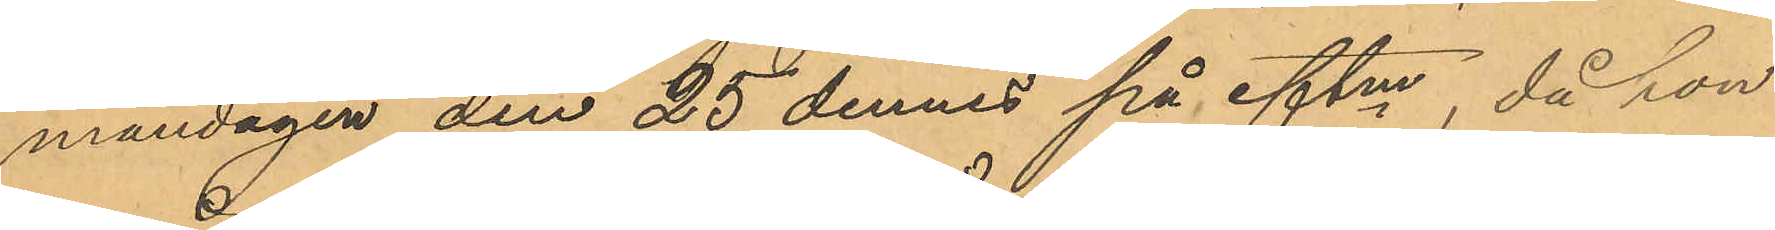måndagen den 25 dennes på eftm, då hon
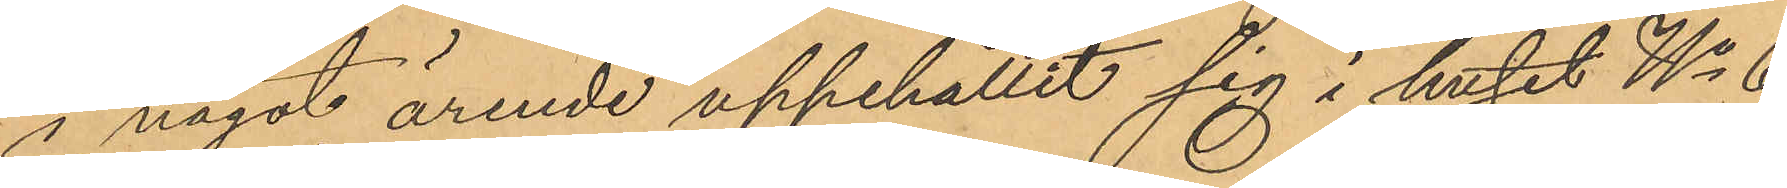i något ärende uppehållit sig i huset No 6
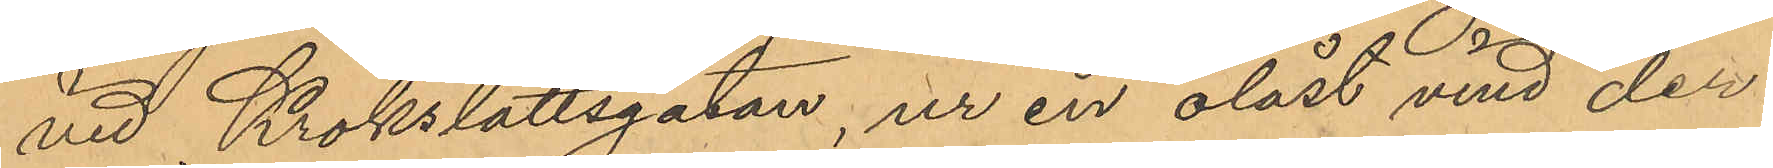vid Krokslättsgatan, ur en olåst vind der¬
